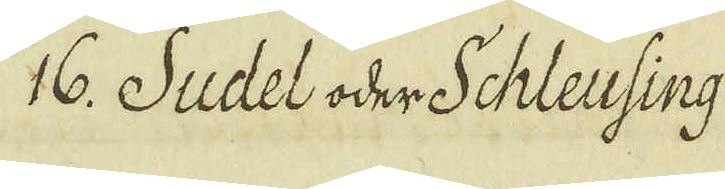16. Sudel oder Schleusing
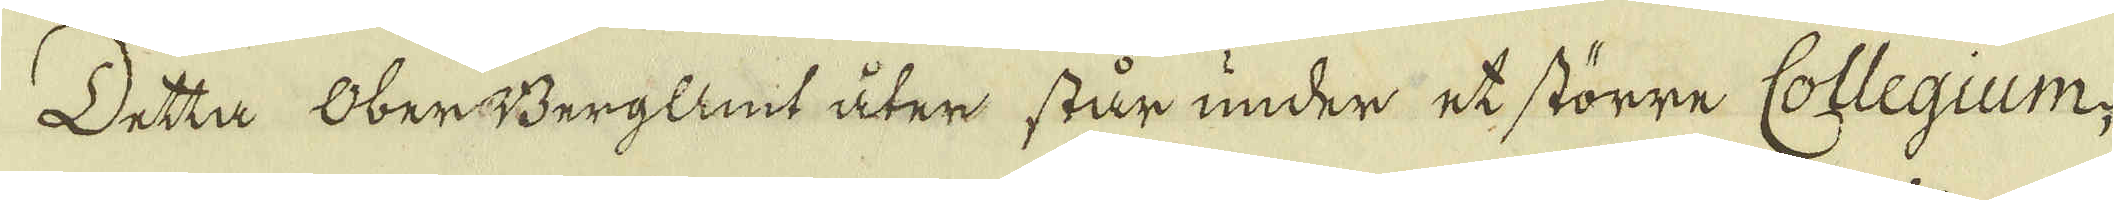Detta OberBergAmt åter står under et större Collegium,
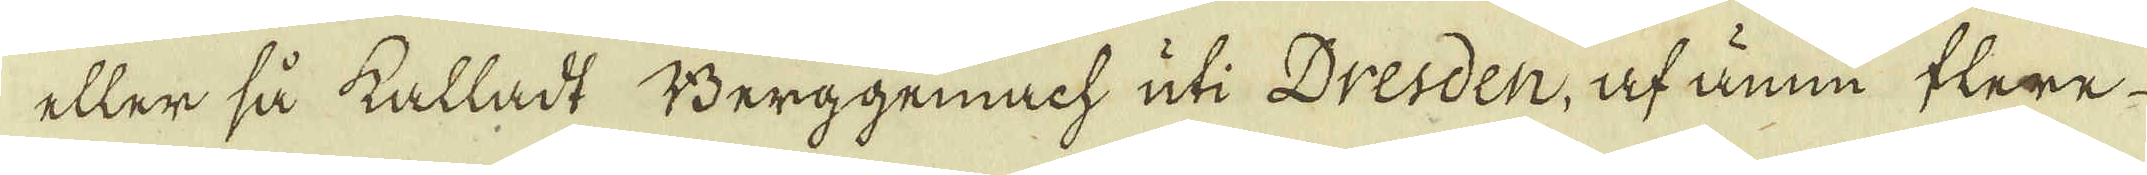eller så kalladt Berggemach uti Dresden, af ännu flere
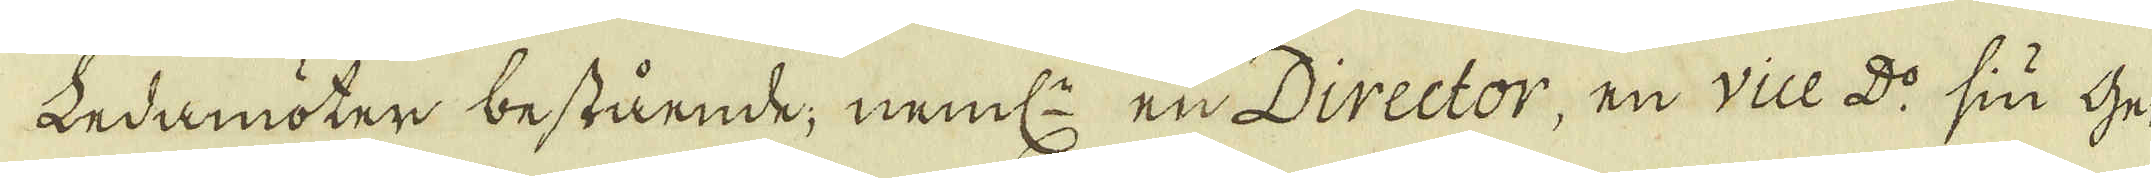Ledamöter bestående, neml: en Director, en vice D:o sin Ge-
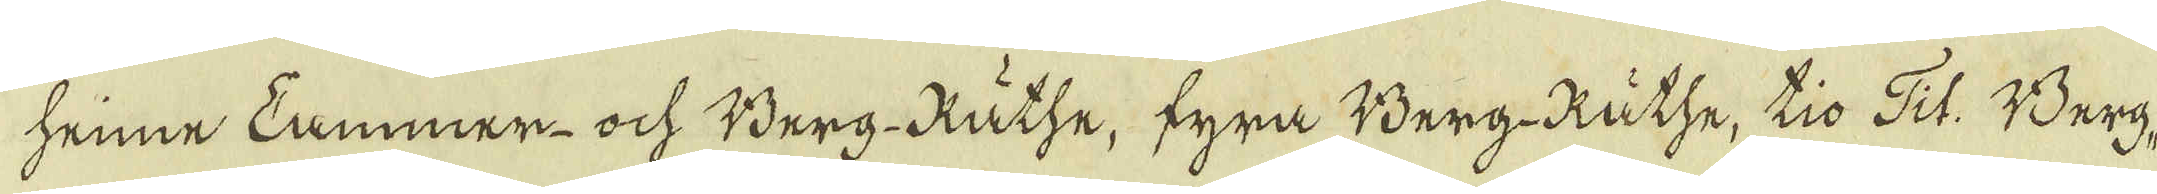heinne Cammer- och Berg-Räthe, fyra Berg-Räthe, tio Tit. Berg-
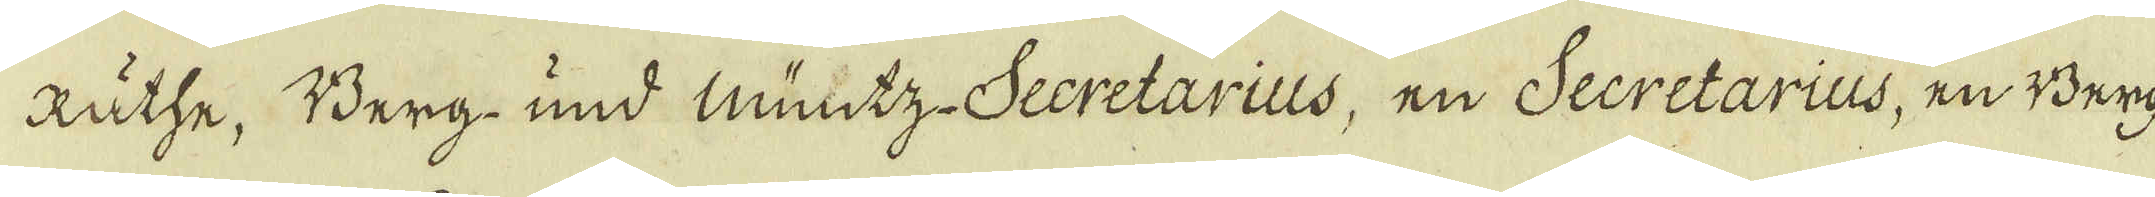Räthe, Berg- und Muntz- Secretarius, en Secretarius, en Berg-
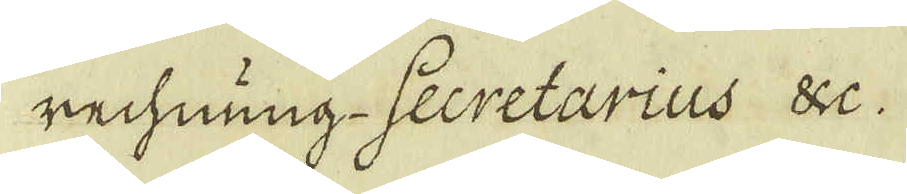rechning- Secretarius &c.
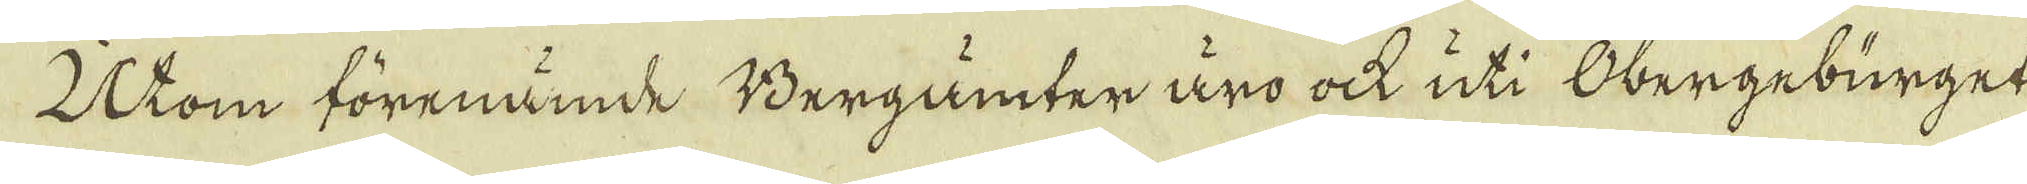Utom förenämde Bergämter äro ock uti Obergebürget
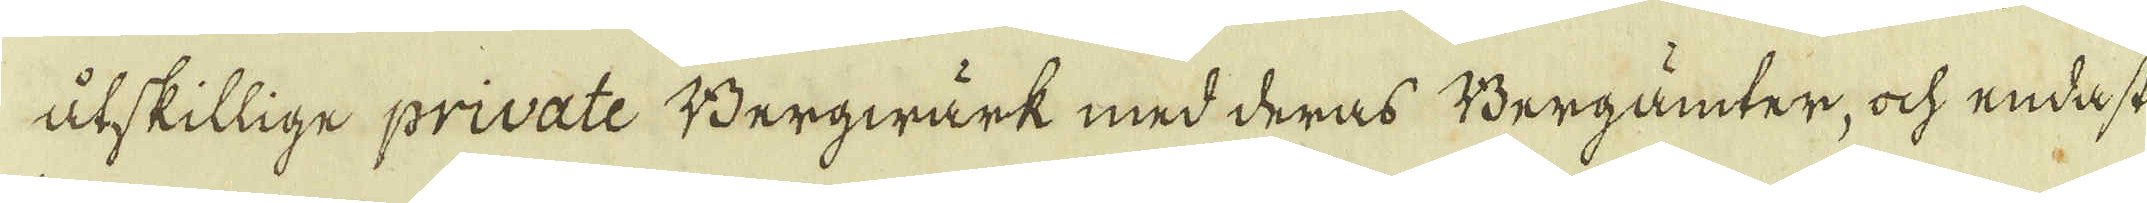åtskillige private Bergwärk med deras Bergamter, och endast
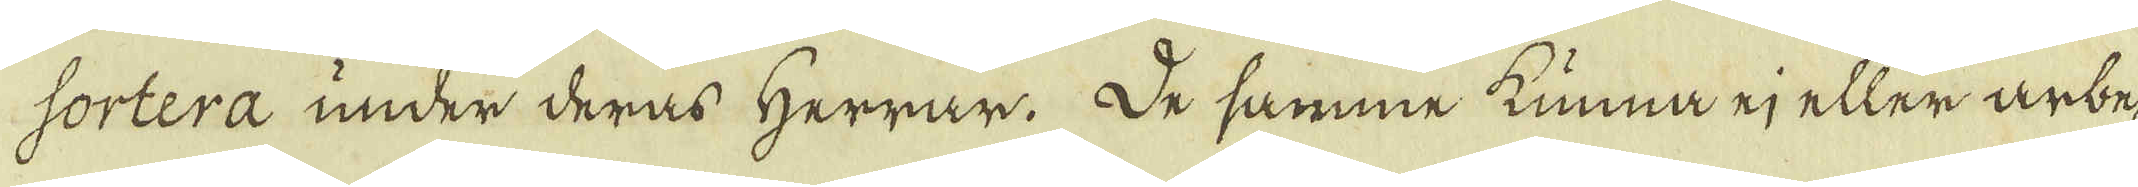sortera under deras Herrar. De samme kunna ej eller arbe-
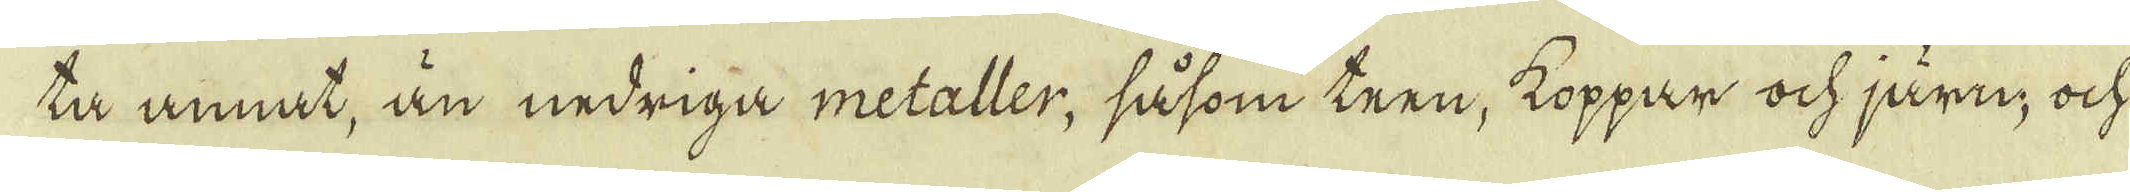ta annat, än nedriga metaller, såsom teen, koppar och järn, och
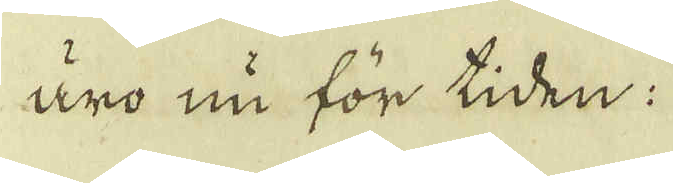äro nu för tiden:
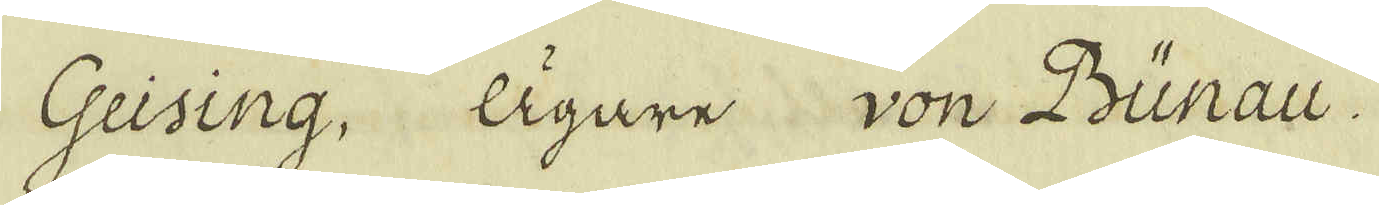Geising, Ägare von Bünau.
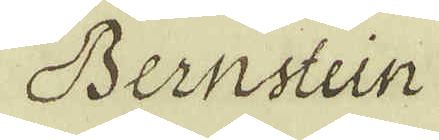Bernstein
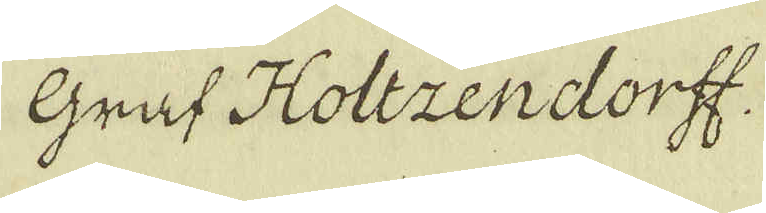Gref Holtzendorff
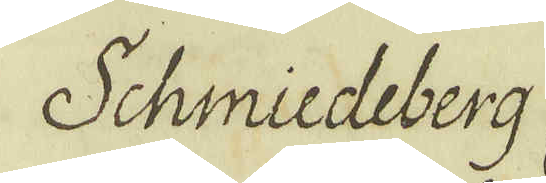Schmiedeberg
